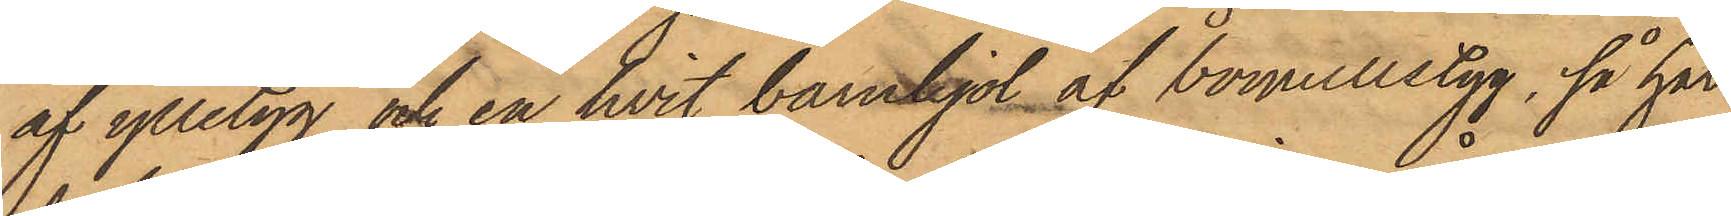af ylletyg och en hvit barnkjol af bomullstyg, så har
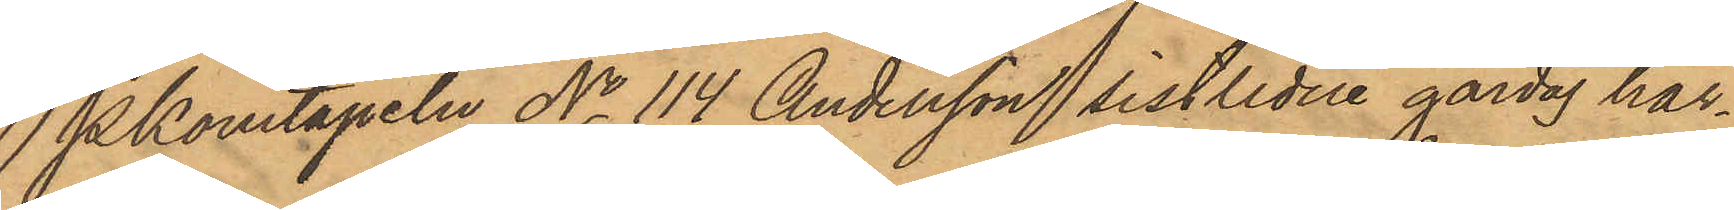Pkonstapeln No 114 Andersson sistlidne gårdag här¬
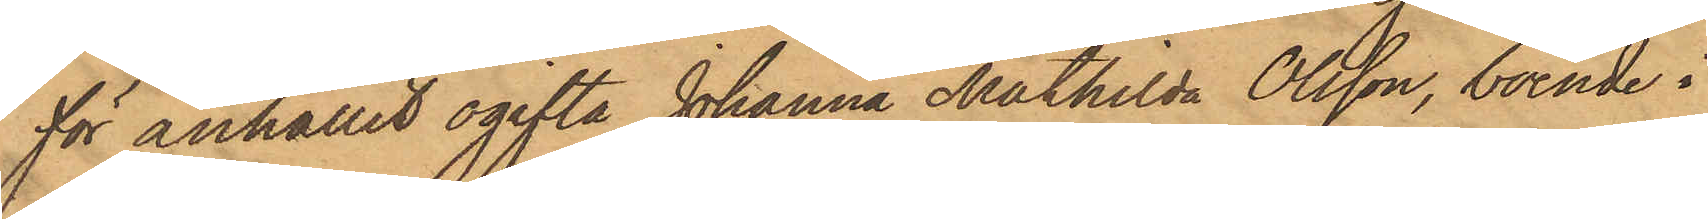för anhållit ogifta Johanna Mathilda Olsson, boende i
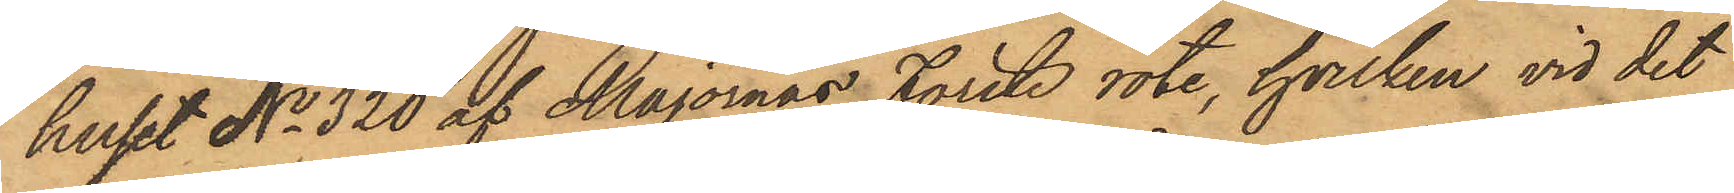huset No 320 af Majornas Förste rote, hvilken vid det
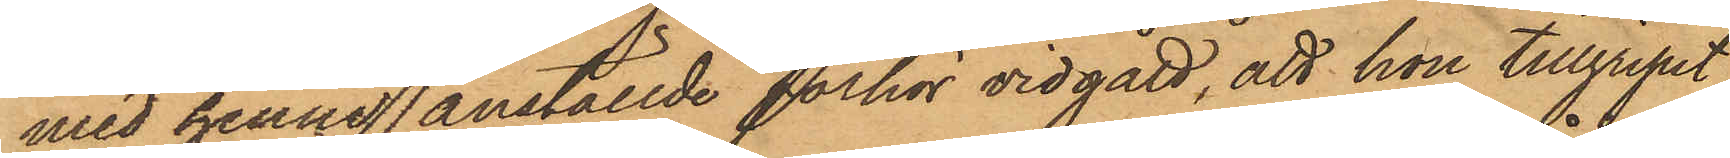med henne anställde förhör vidgått, att hon tillgripit
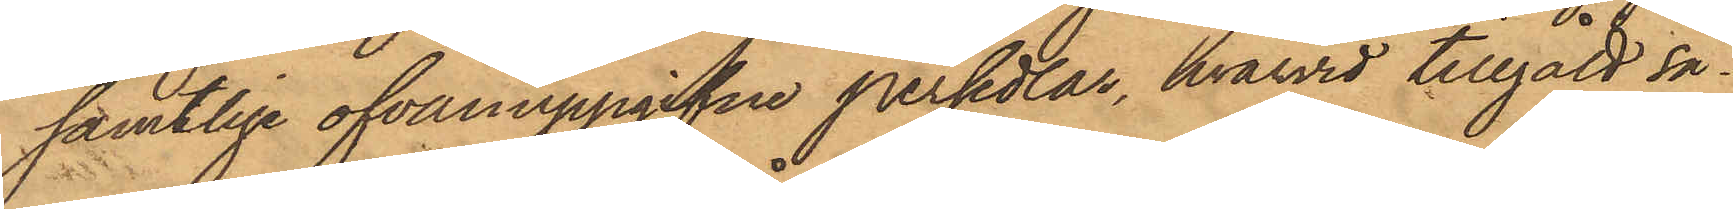samtlige ofvanuppgifne persedlar, hvarvid tillgått så¬
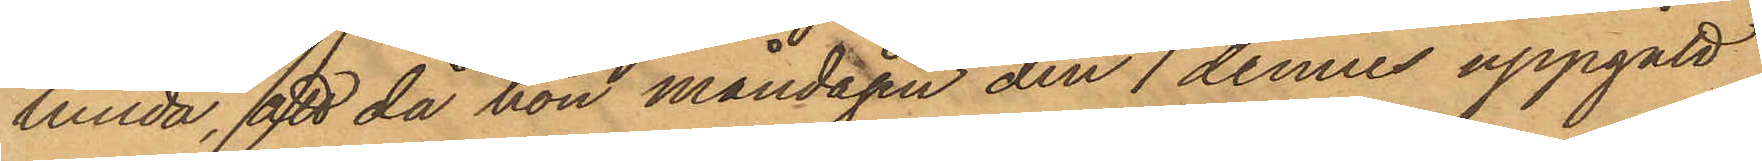lunda, att då hon måndagen den 7 dennes uppgått
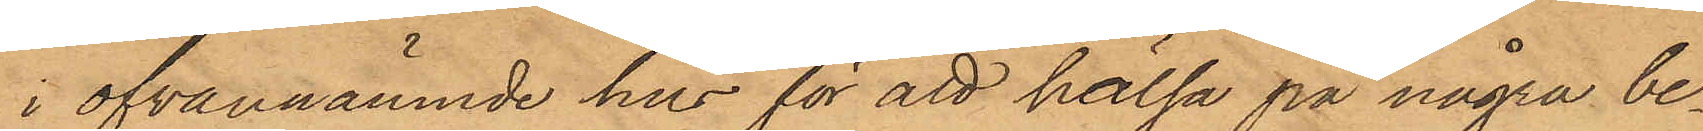i ofvannämnde hus för att hälsa på några be¬
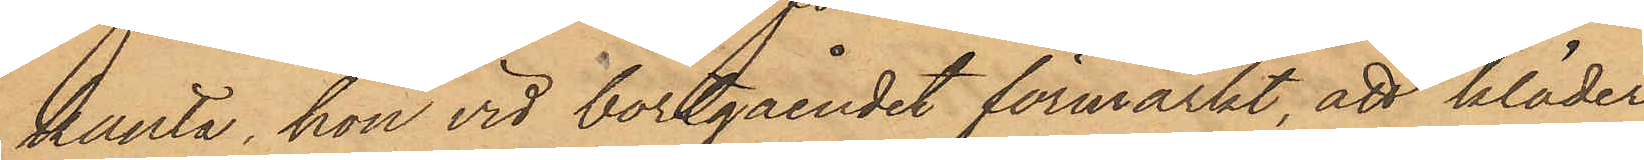kanta, hon vid bortgåendet förmärkt, att kläder
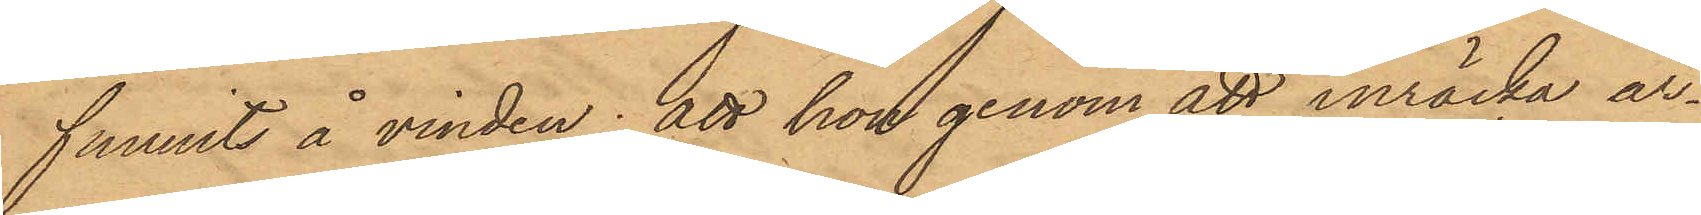funnits å vinden; att hon genom att inräcka ar¬
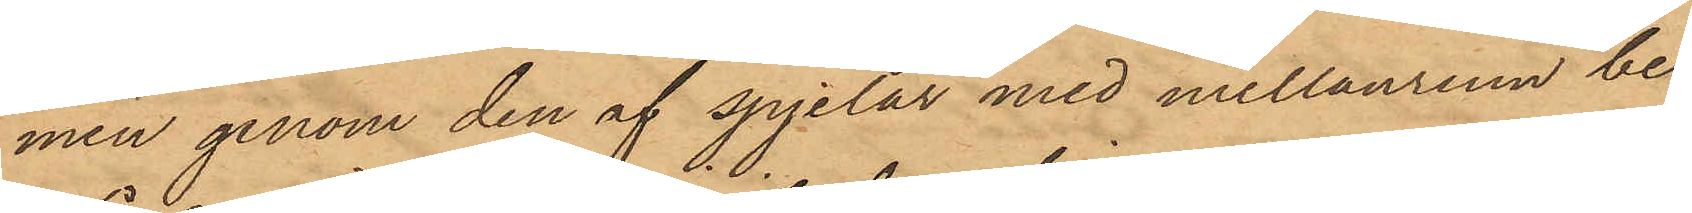men genom den af spjelor med mellanrum be¬
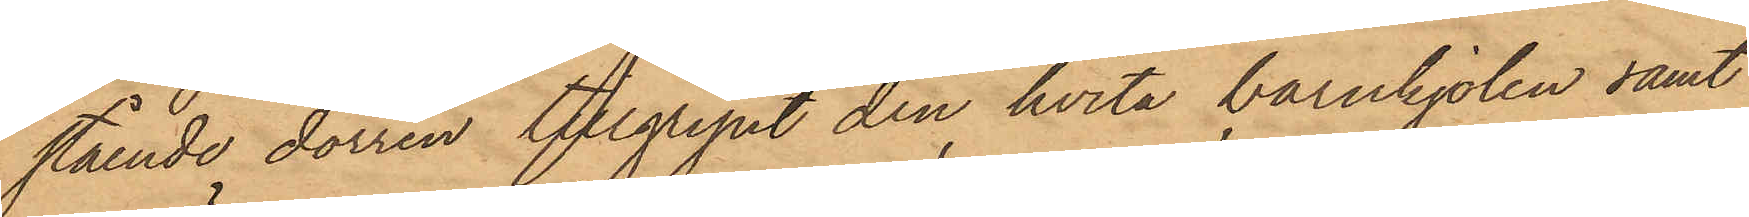stående dörren tillgripit den hvita barnkjolen samt
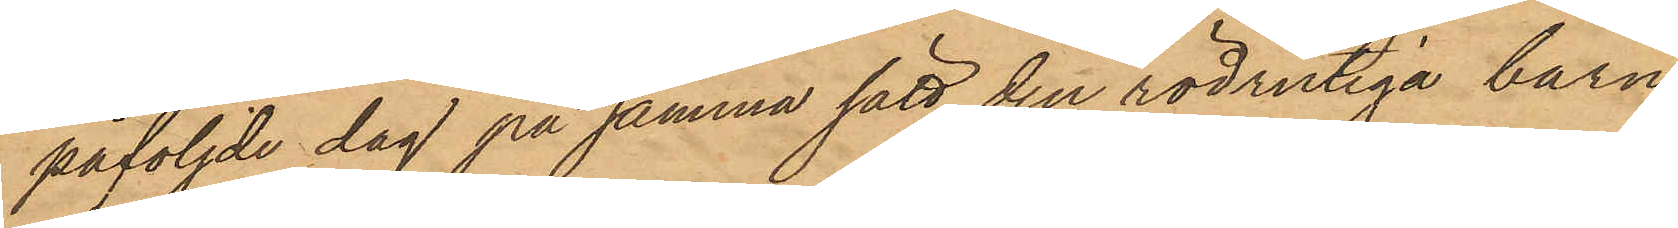påföljde dag på samma sätt den rödrutiga barn¬
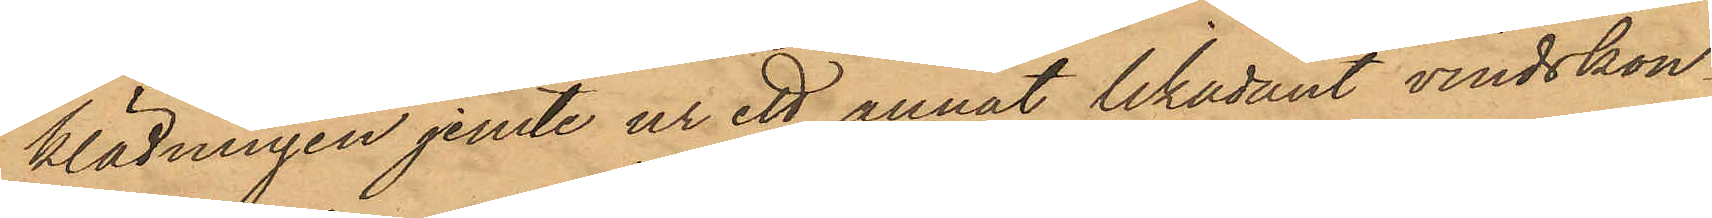klädningen jemte ur ett annat likadant vindskon¬
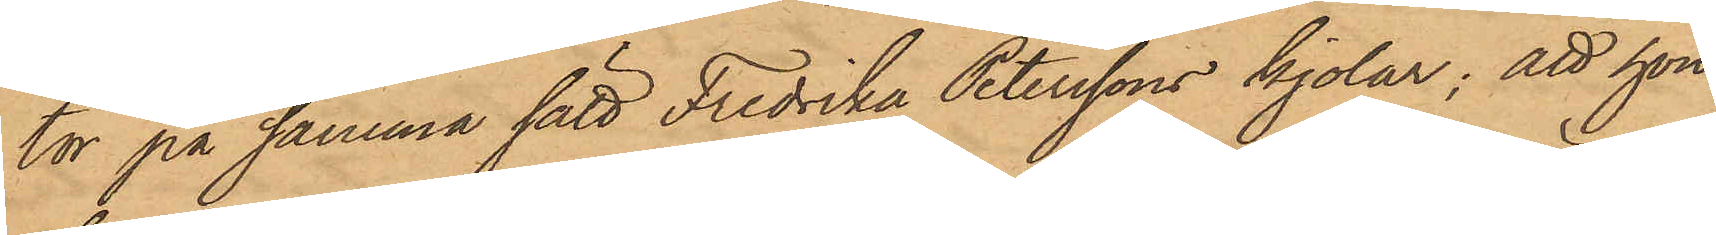tor på samma sätt Fredrika Peterssons kjolar; att hon
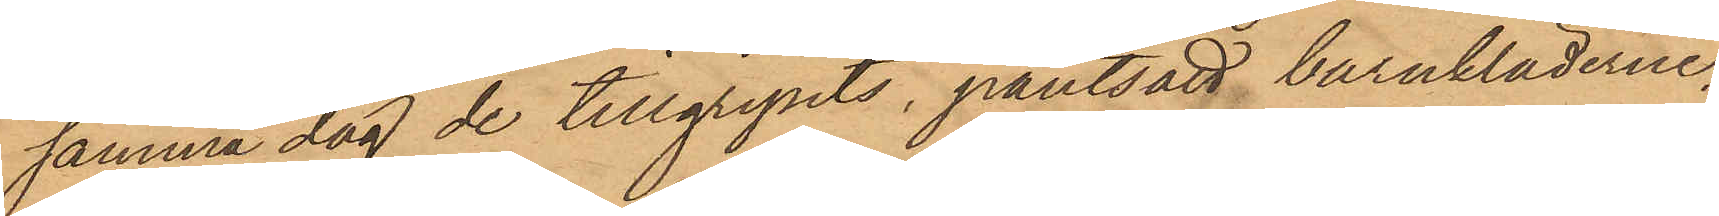samma dag de tillgripits, pantsatt barnkläderne,
